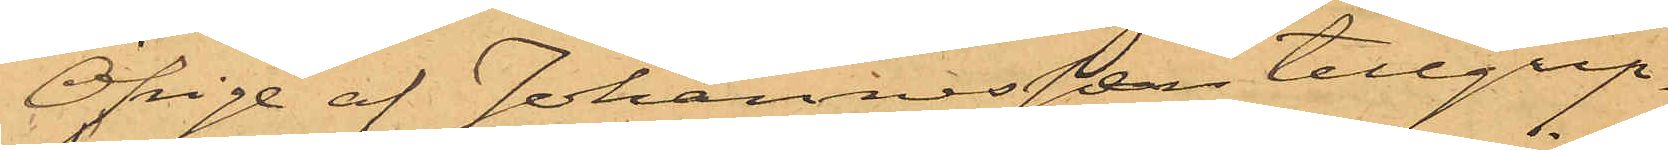Öfrige af Johannessen tillgrip¬
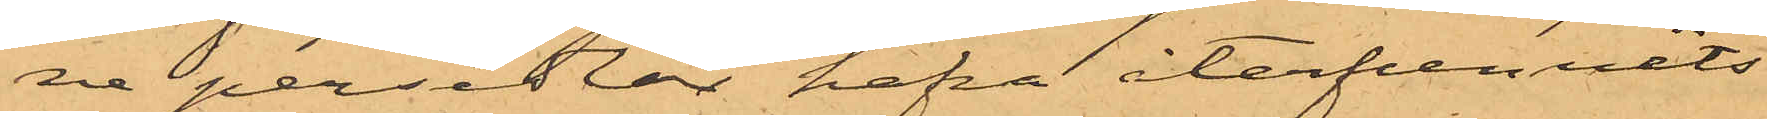ne persedlar hafva återfunnits
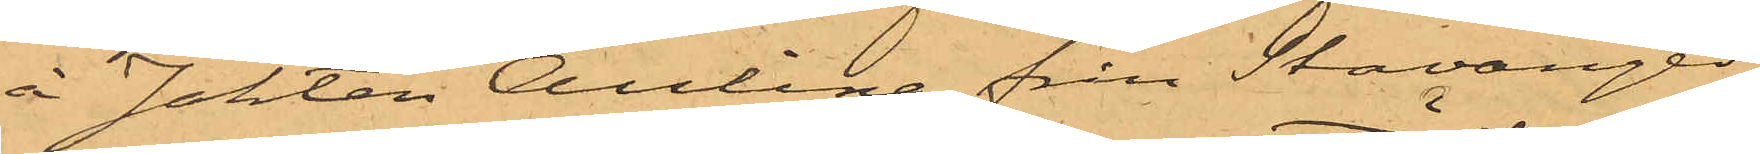å Jakten Aulina från Stavanger,
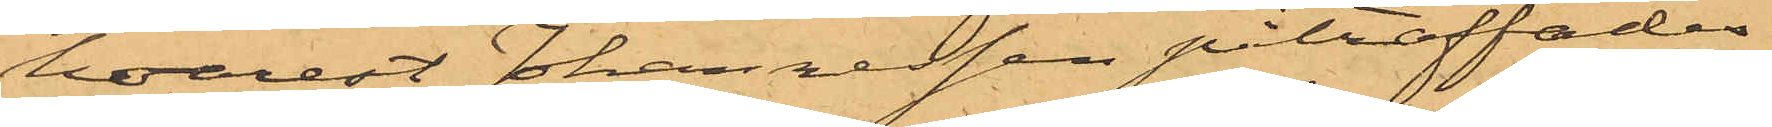hvarest Johannesen påträffades
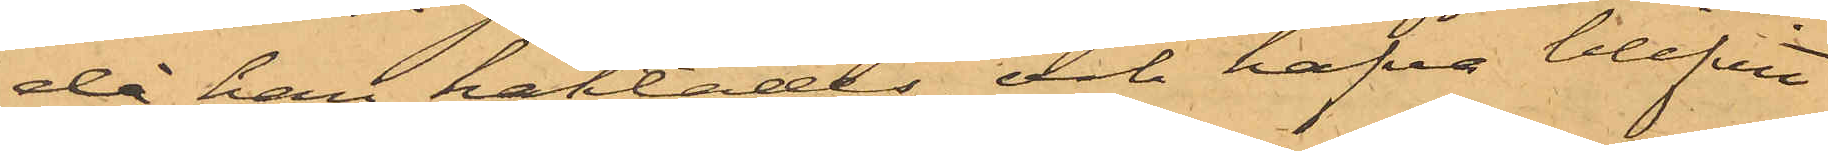då han häktades, och hafva blifvit
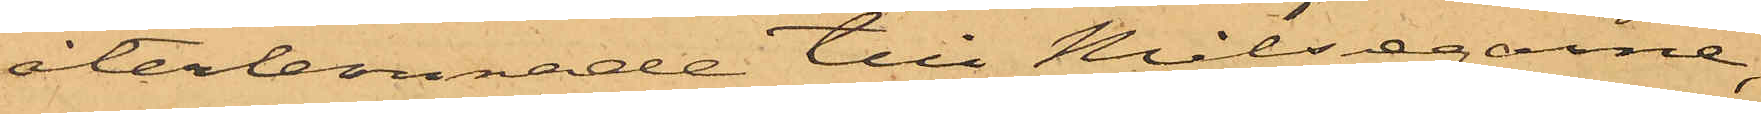återlemnade till Målsegarne,
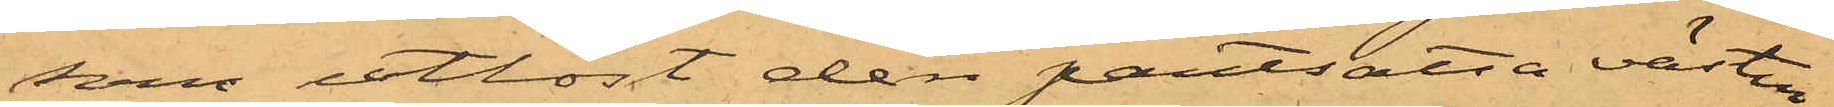som utlöst den pantsatta västen
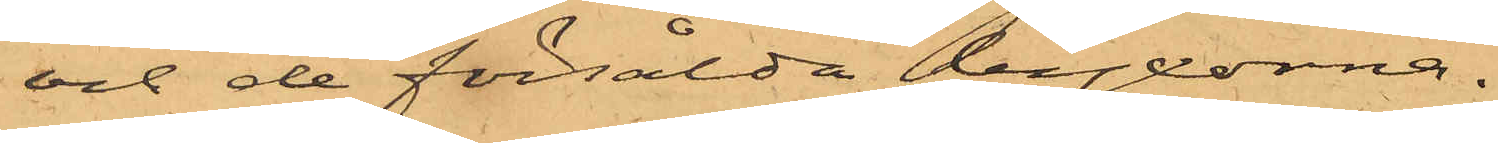och de försålda byxorna.
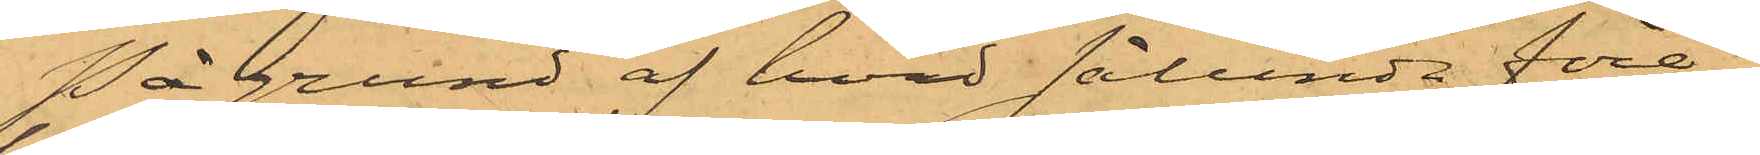På grund af hvad sålunda före¬
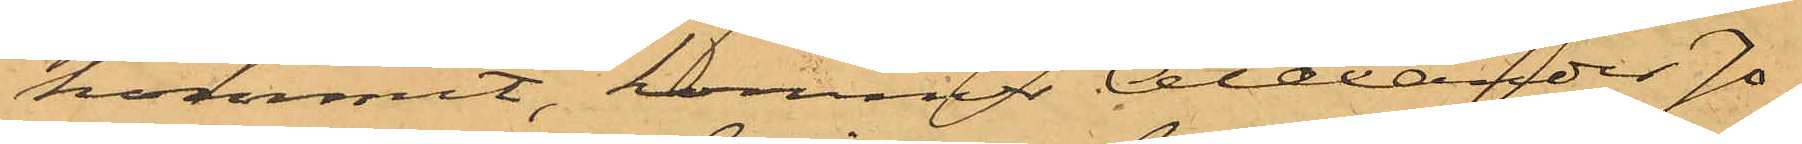kommit, kommer Alexander Jo¬
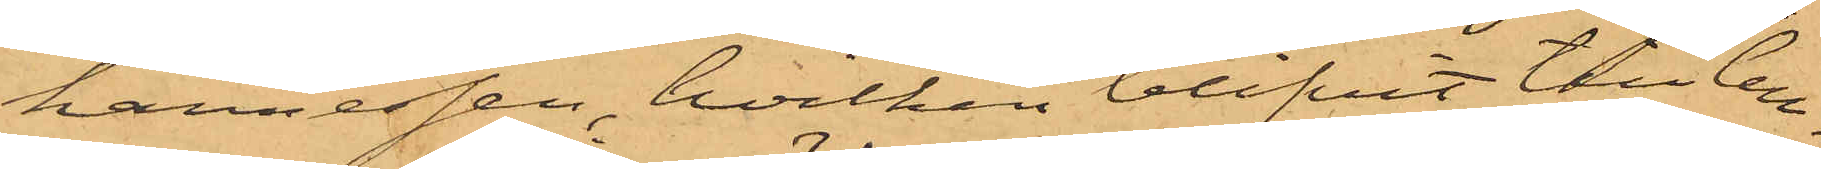hannessen, hvilken blifvit till Cell¬
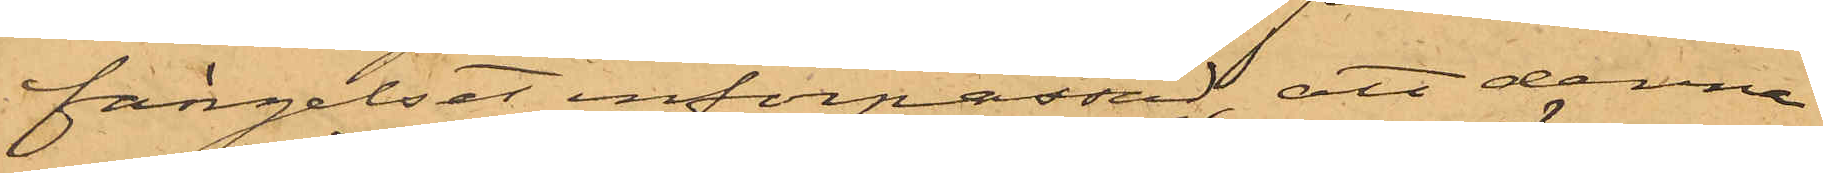fängelset införpassad, att denna
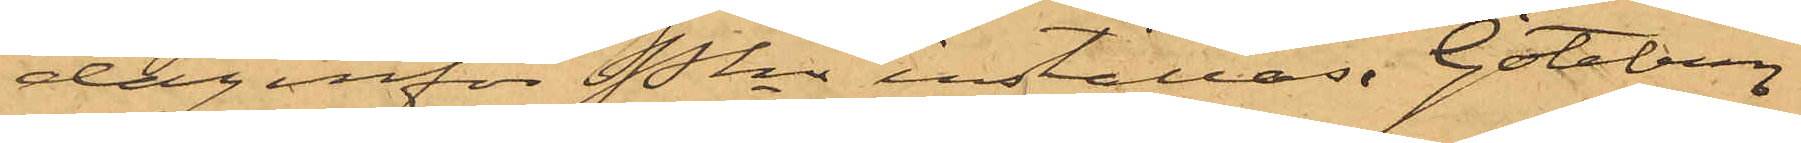dag inför Pkn inställas. Göteborg
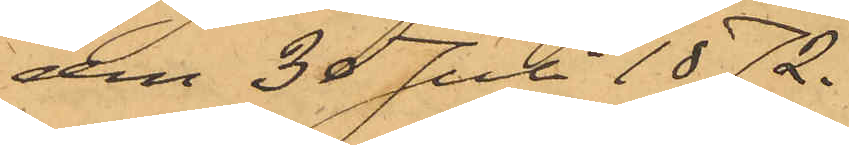den 30 Juli 1872.
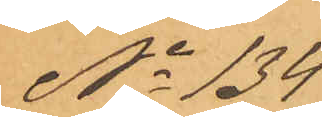No 134
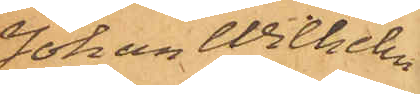Johan Wilhelm
